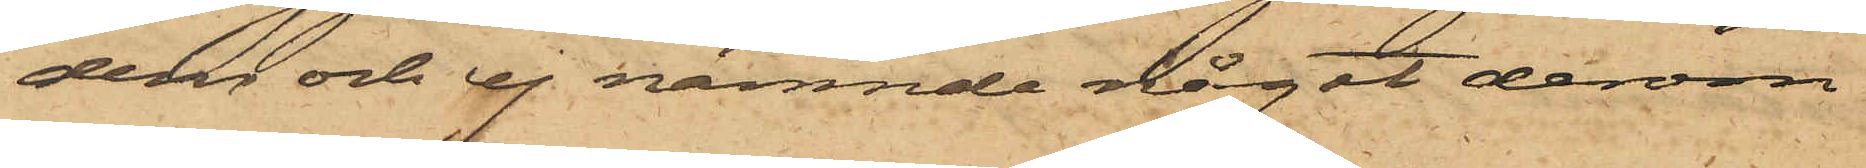dem och ej nämnde något derom
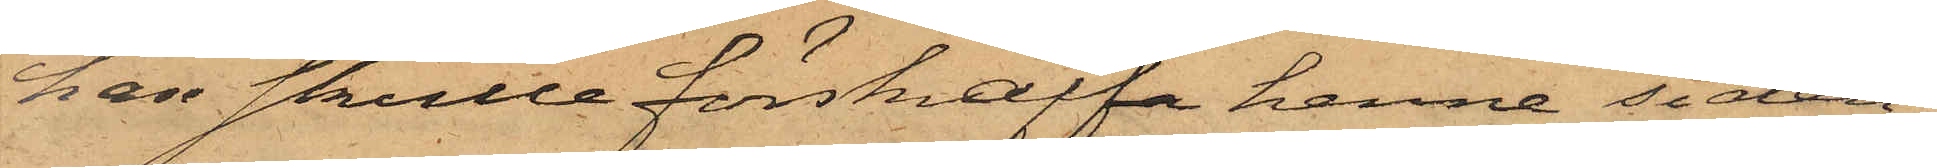han skulle förskaffa henne siden,
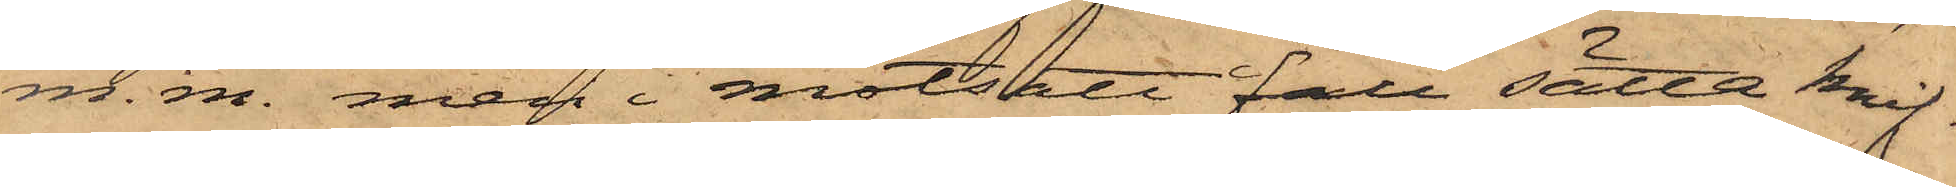m. m. men i motsatt fall sätta knif¬
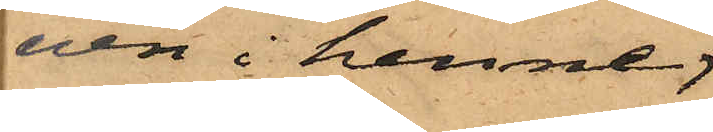ven i henne;
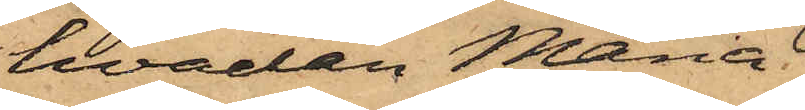hvadan Maria
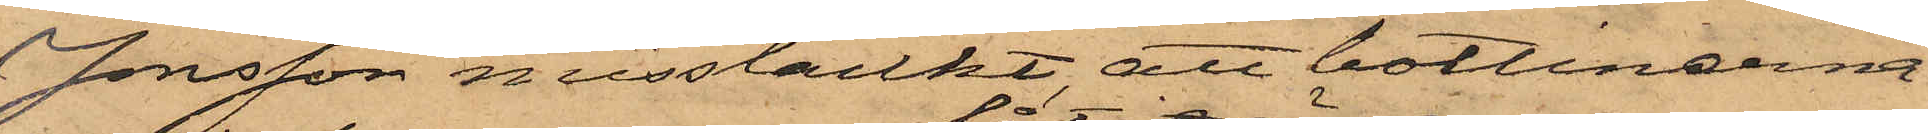Jonsson misstänkt att bottinerna
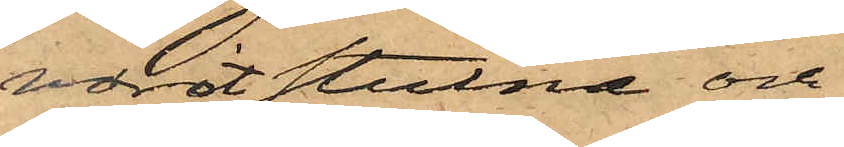varit stulna och
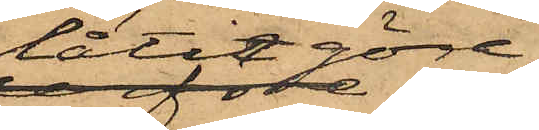låtit göra
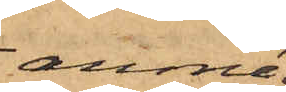anmä¬
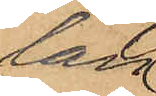lan
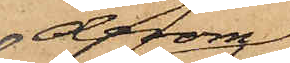derom
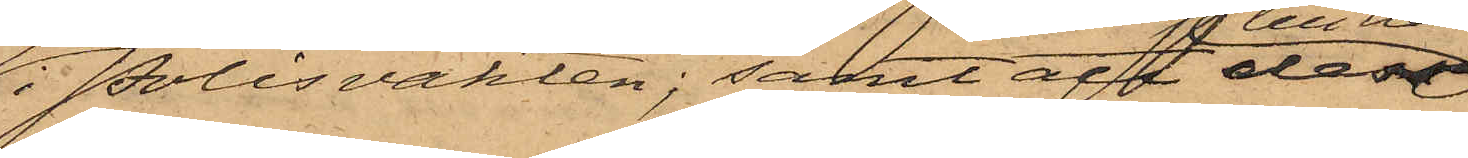i Polisvakten; samt att dessa
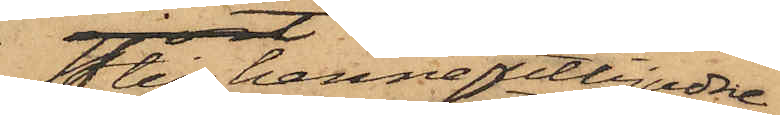till henne utbjudne
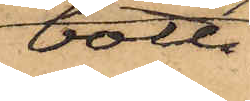botti¬
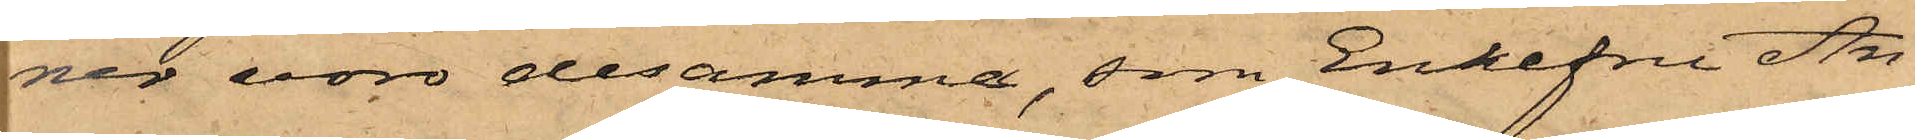ner voro desamma, som Enkefru An¬
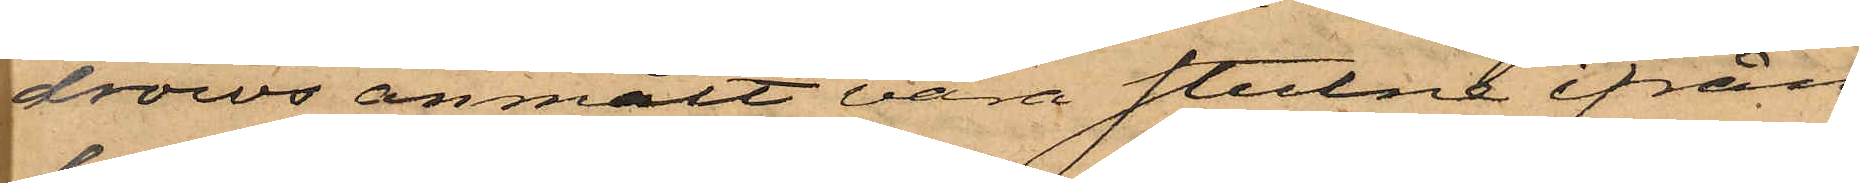drows anmält vara stulne ifrån
